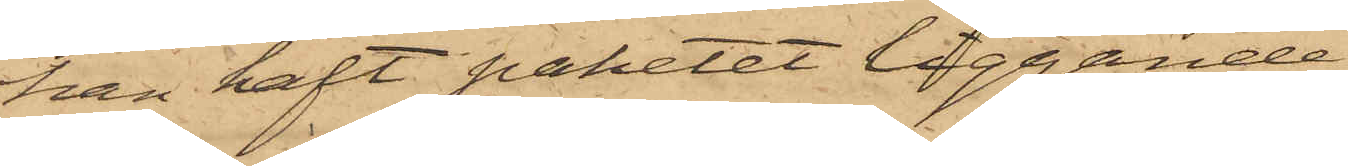han haft paketet liggande
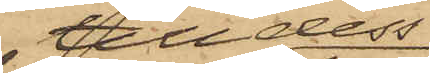till dess
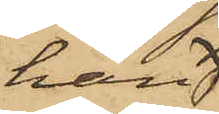han
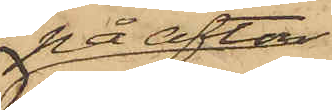på afton
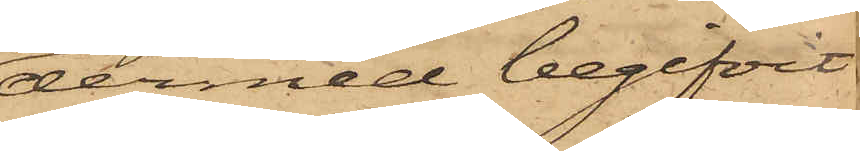dermed begifvit
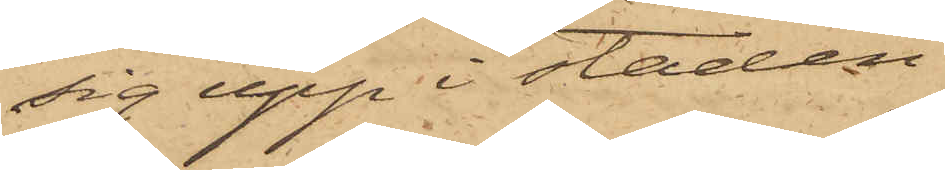sig upp i staden
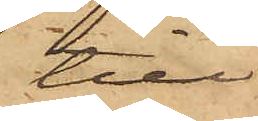till
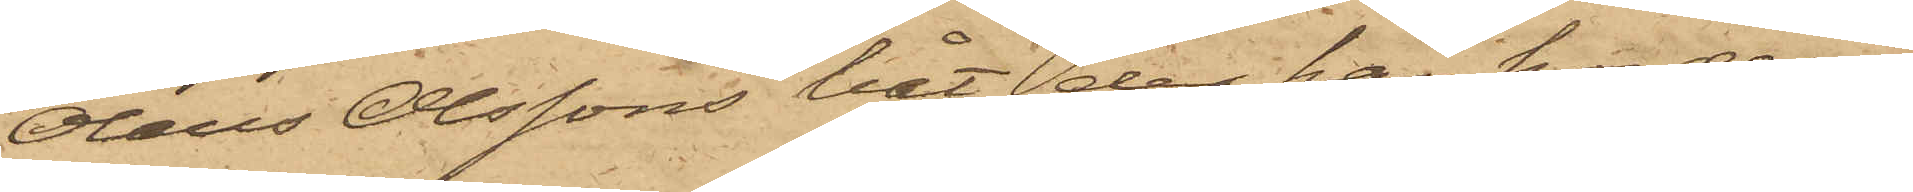Olaus Olssons båt, der han hos denne
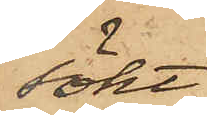sökt
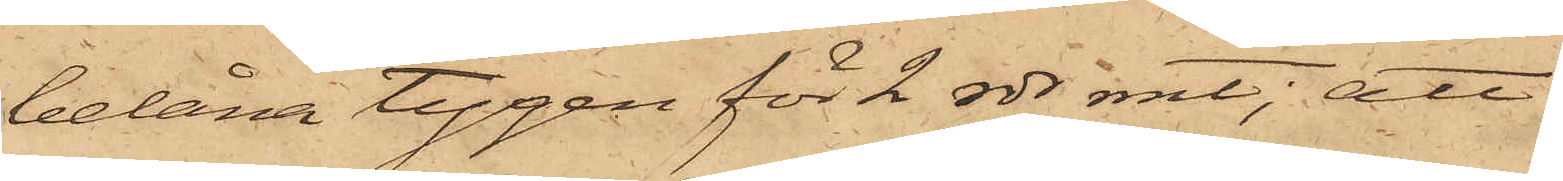belåna tygen för 2 rdr rmt; att
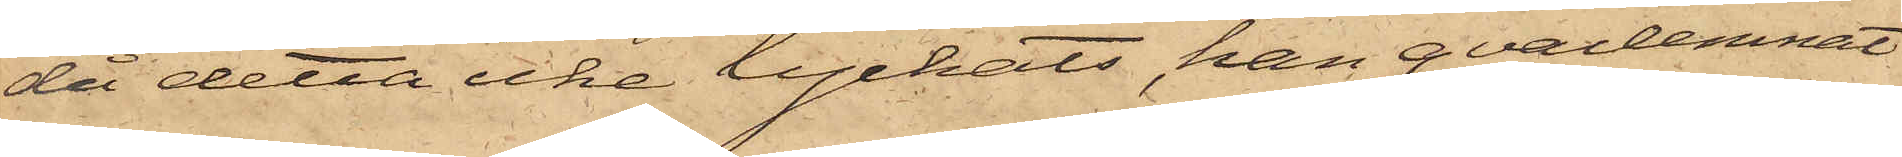då detta icke lyckats, han qvarlemnat
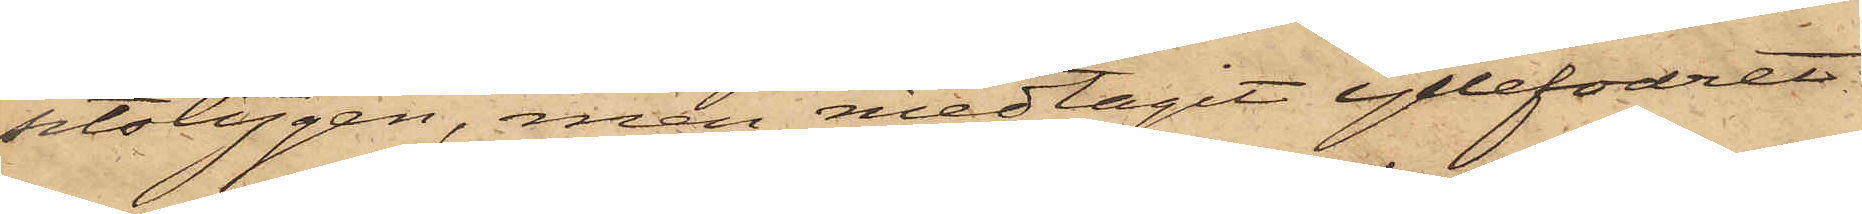sitstygen, men medtagit yllefodret
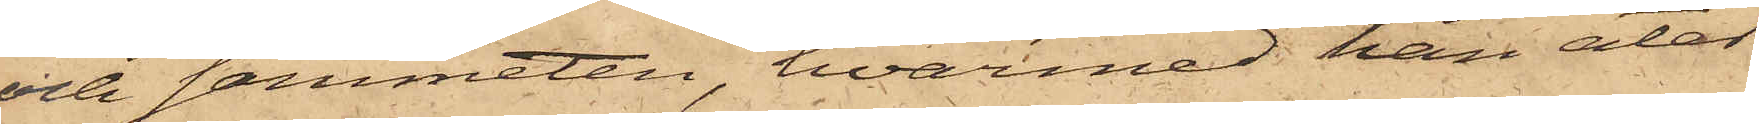och sammeten, hvarmed han åter¬
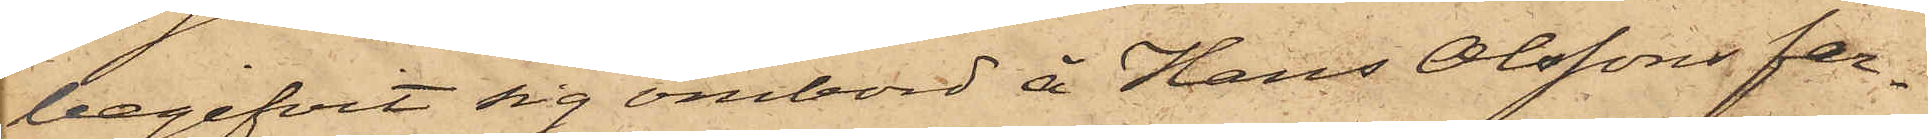begifvit sig ombord å Hans Olssons far¬
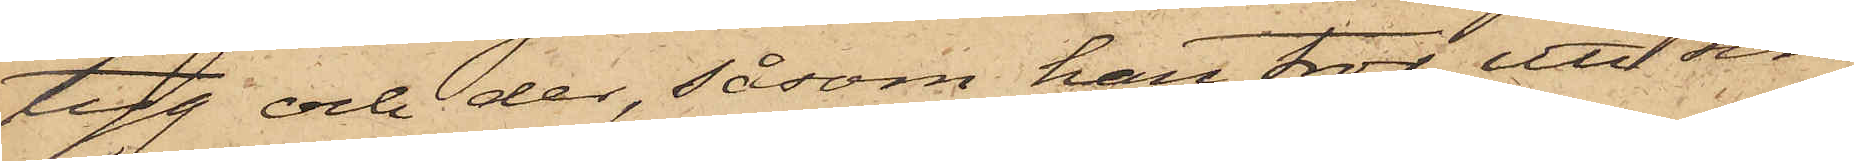tyg och der, såsom han tror, uti sin
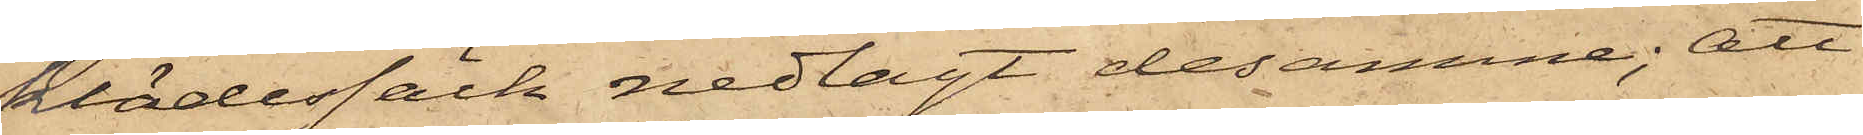klädessäck nedlagt desamme; att
